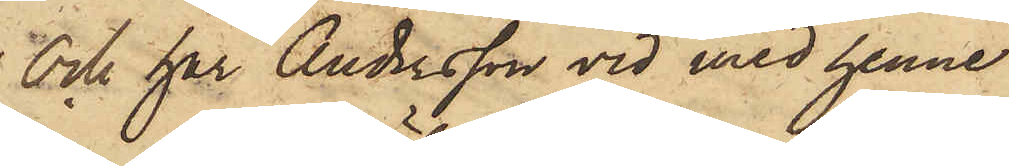Och har Andersson vid med henne
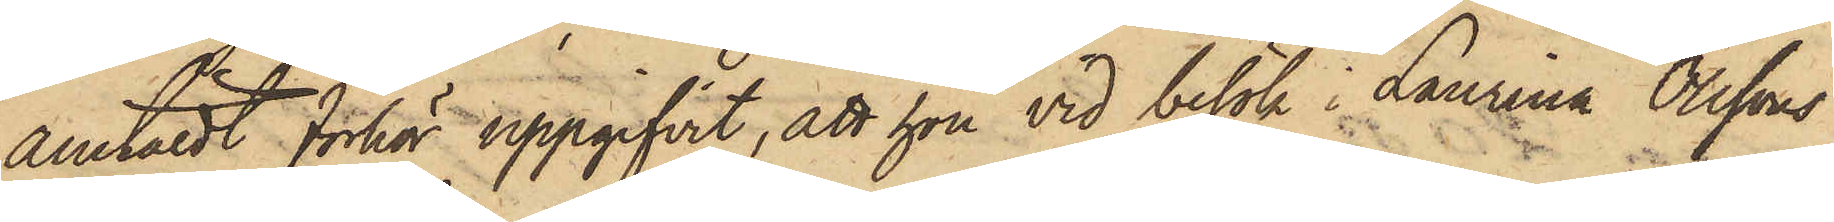anstäldt förhör uppgifvit, att hon vid besök i Laurina Olssons
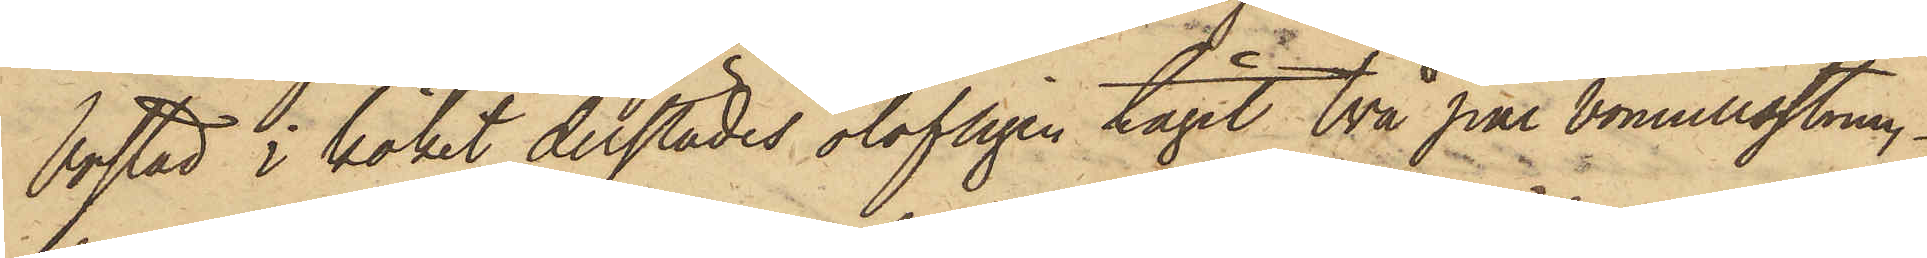bostad i köket derstädes olofligen tagit två par bomullsstrum¬
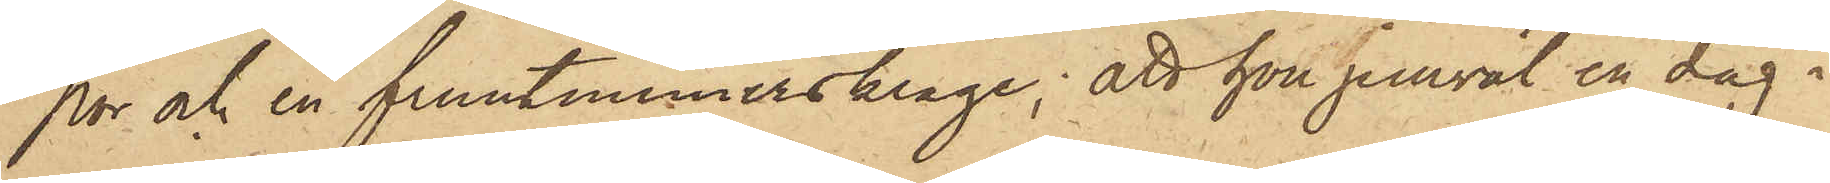por och en fruntimmerskrage; att hon jemväl en dag i
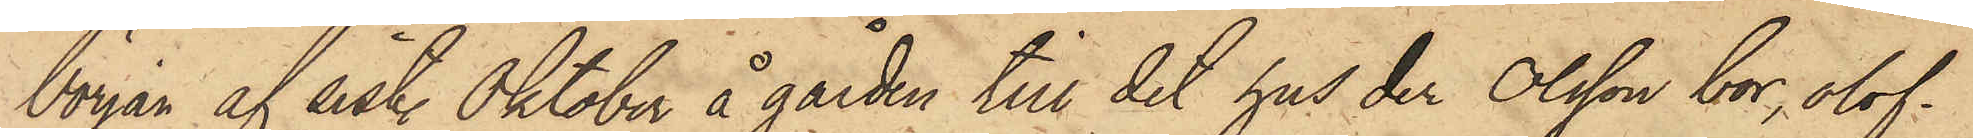början af sist. Oktober å gården till det hus der Olsson bor, olof¬
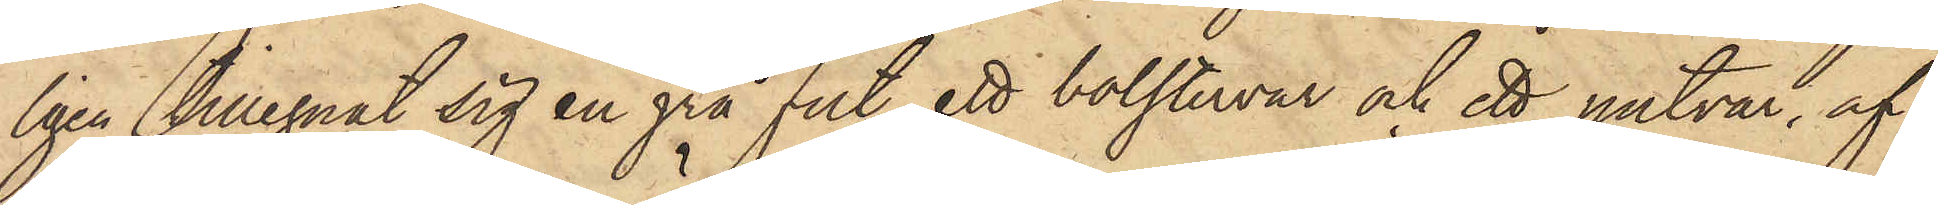ligen tillegnat sig en grå filt, ett bolstervar och ett putvar, af
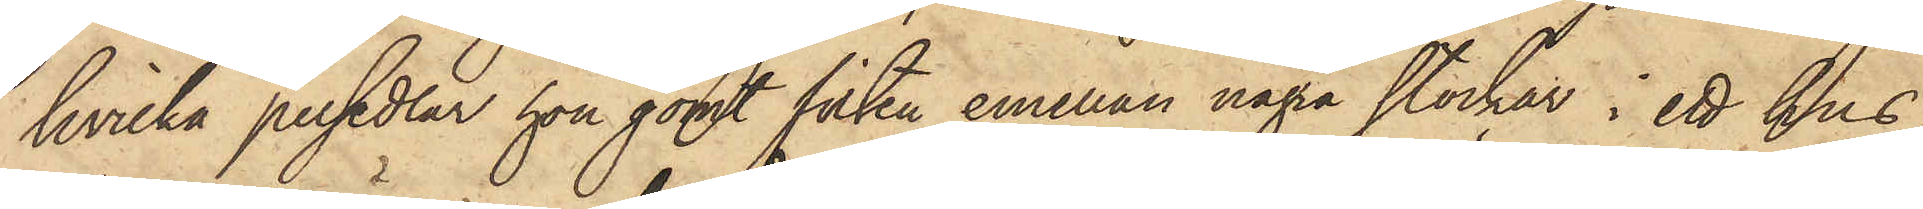hvilka persedlar hon gömt filten emellan några stockar i ett hus
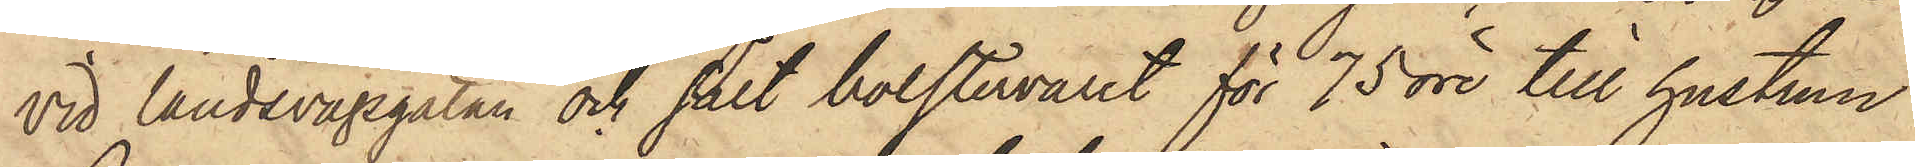vid Landsvägsgatan och sålt bolstervaret för 75 öre till hustrun
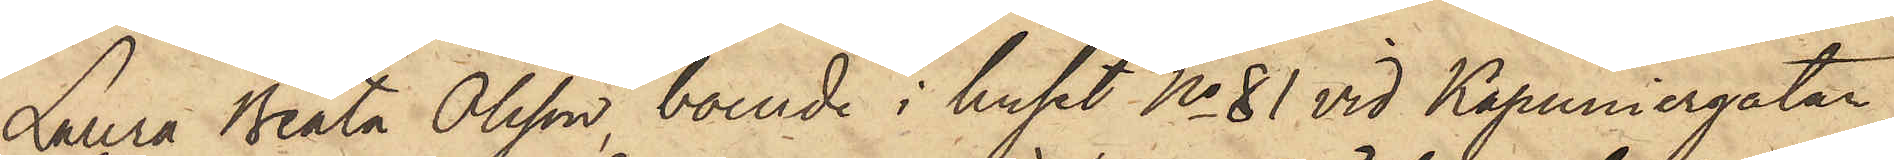Laura Beata Olsson, boende i huset No 81 vid Kapuniergatan,
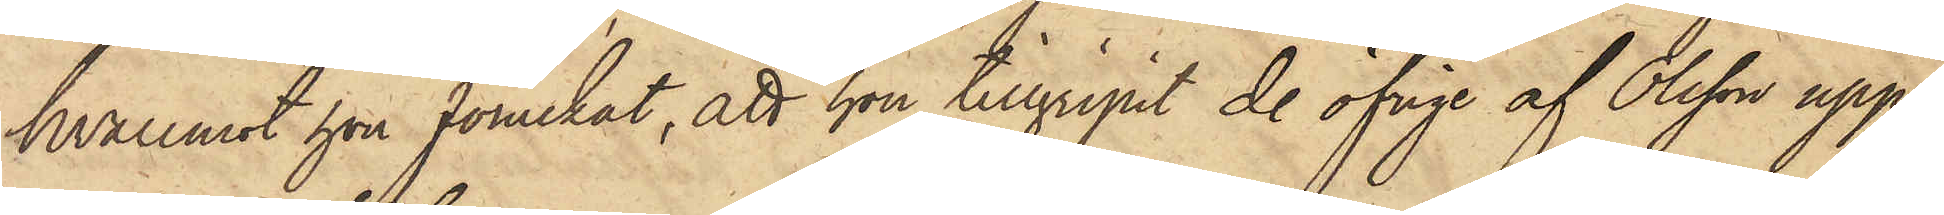hvaremot hon förnekat, att hon tillgripit de öfrige af Olsson upp¬
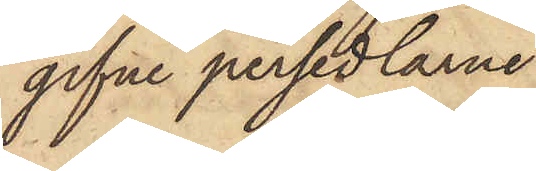gifne persedlarne.
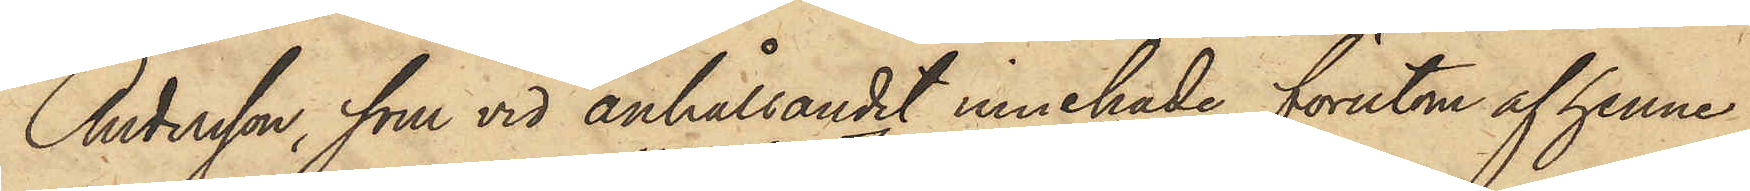Andersson, som vid anhållandet innehade, förut af henne
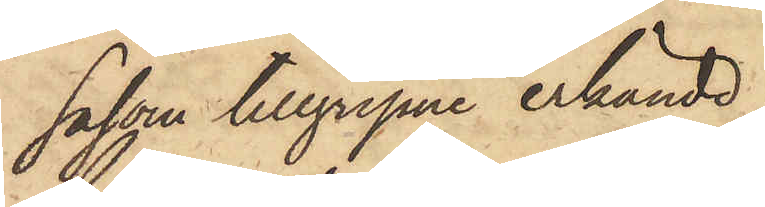såsom tillgripne erkände
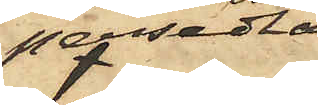persedlar,
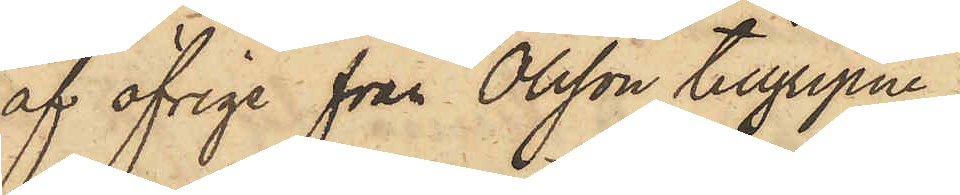af öfrige från Olsson tillgripne
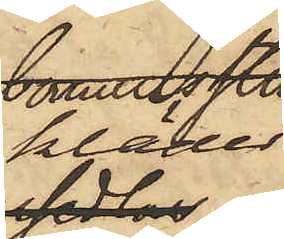kläder
